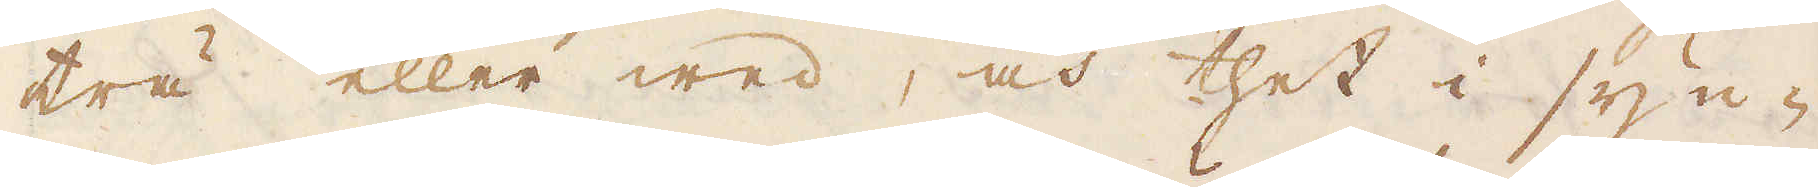trä eller wed, och thet i syn-
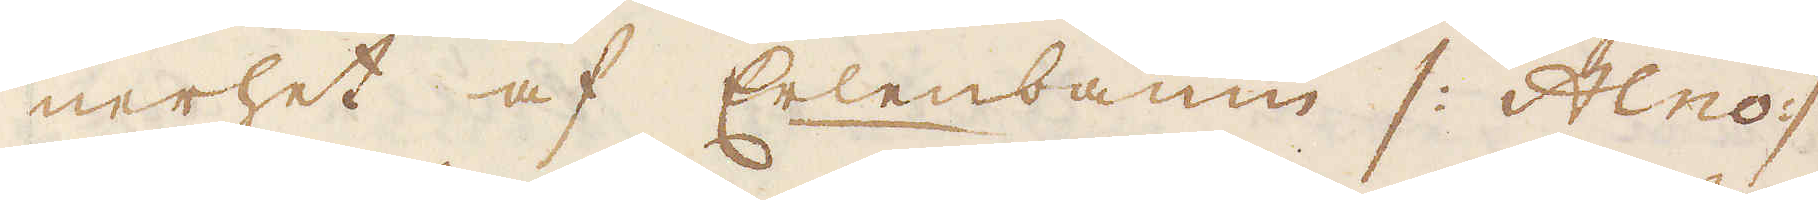nerhet af Erlenbaun /: Alno :/
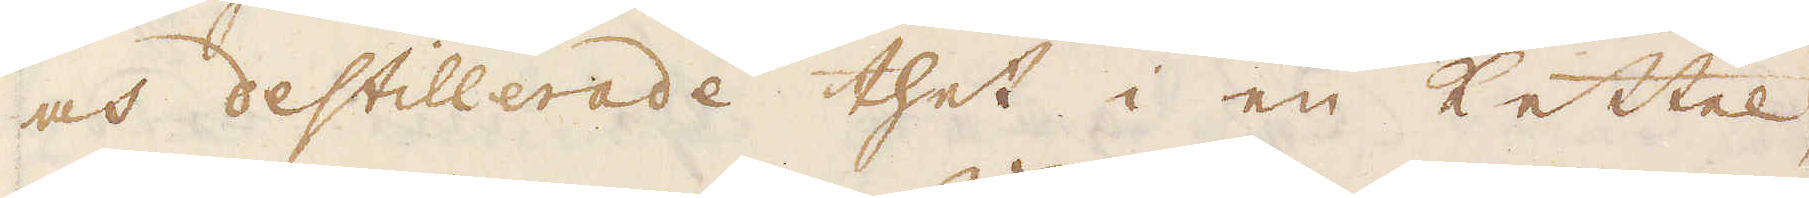och destillerade thet i en Kettel,
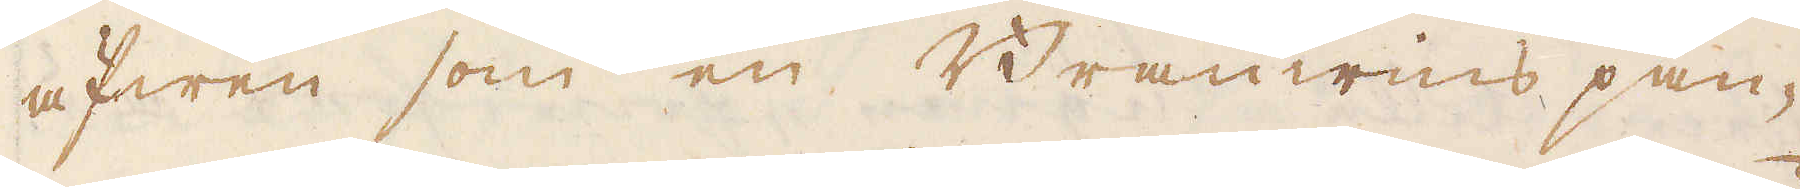äfwen som en Bränwins pan-
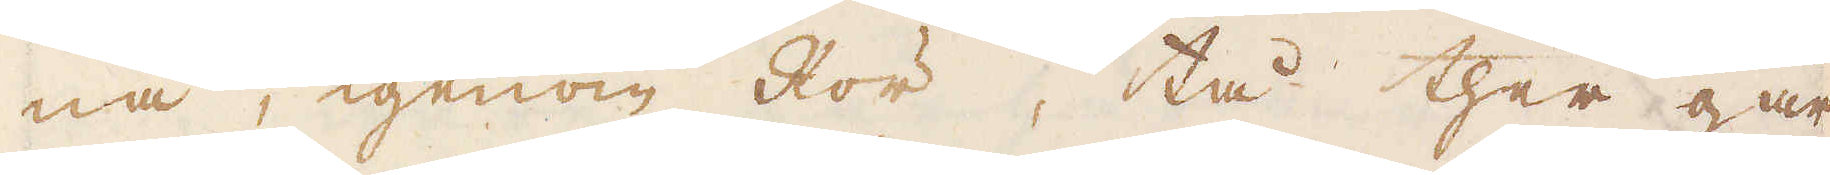na, igenom Rör, tå ther går
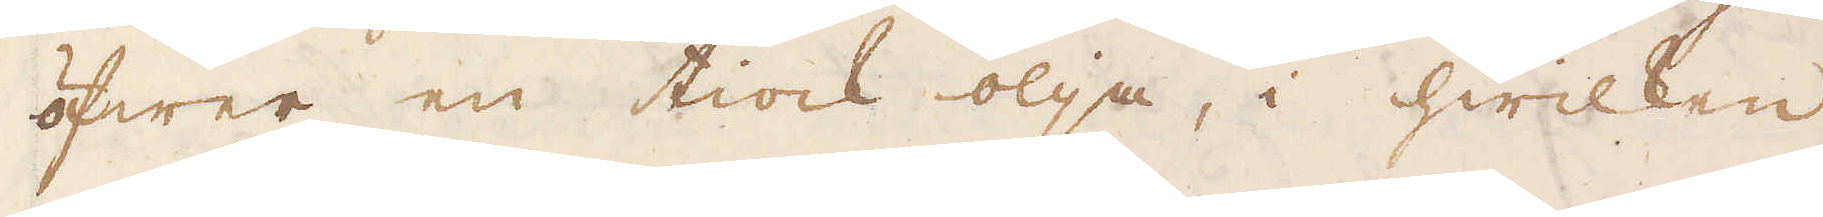öfwer en tiock olja, i hwilken
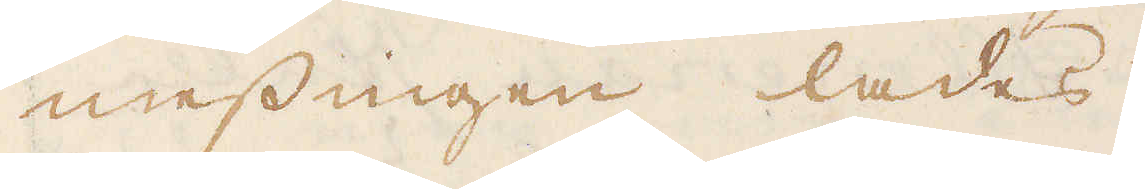messingen lades.
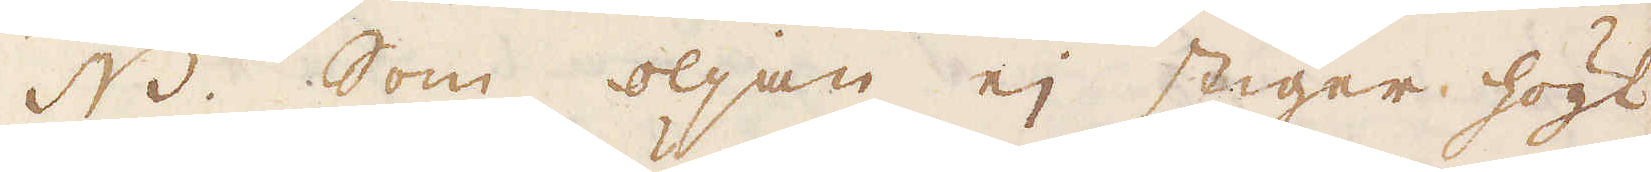NB. Som oljan ej stiger högt
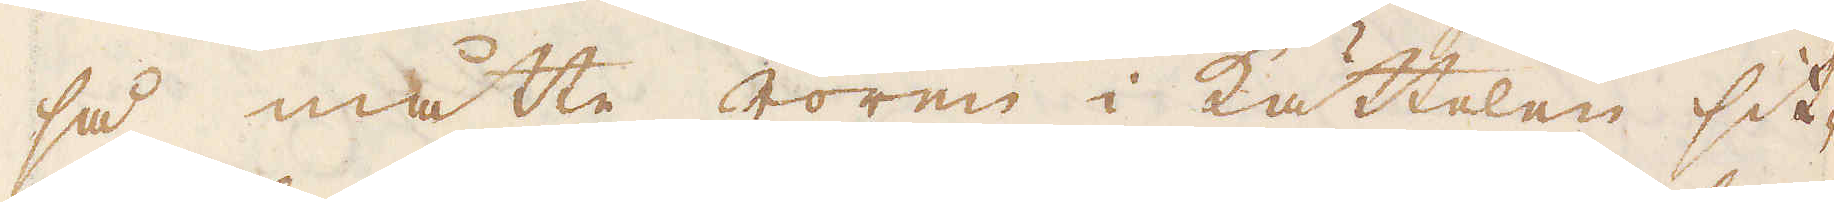så måtte rören i Kättelen sit-
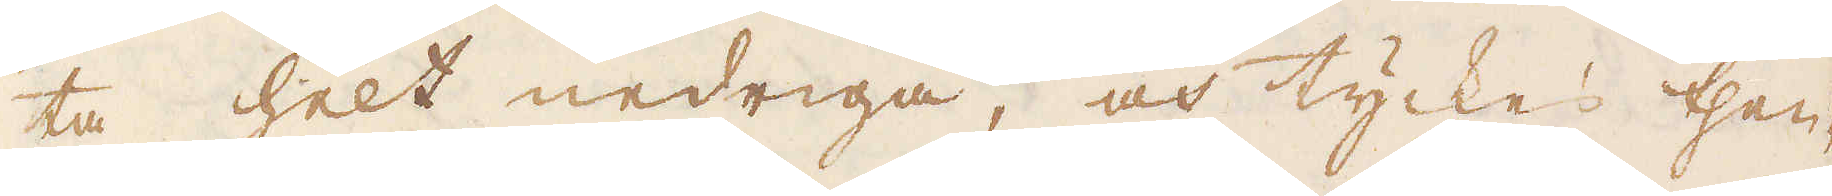ta helt nedriga, och tyckes then-
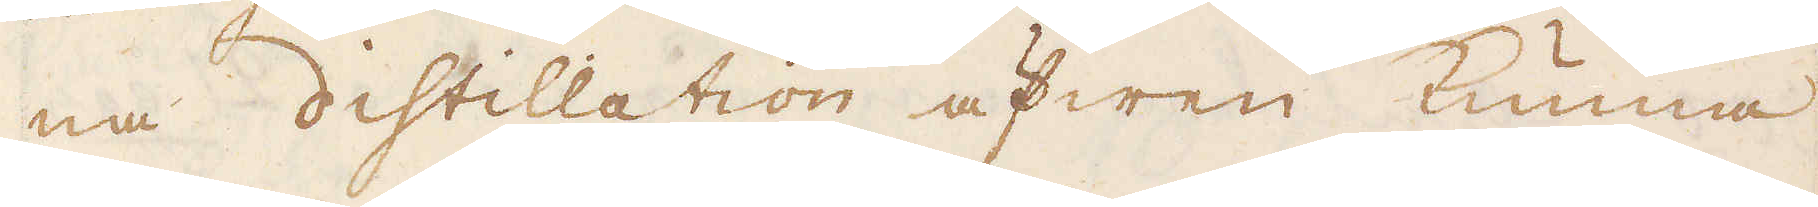na distillation äfwen kunna
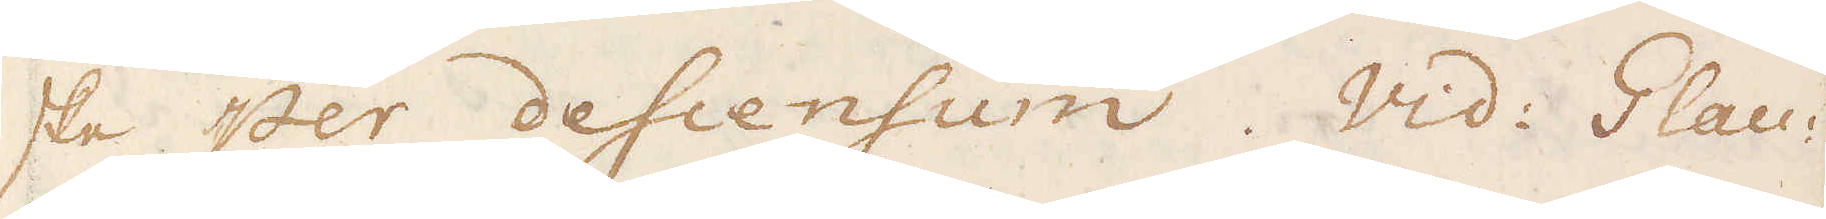ske per descensum. Widi Glau-
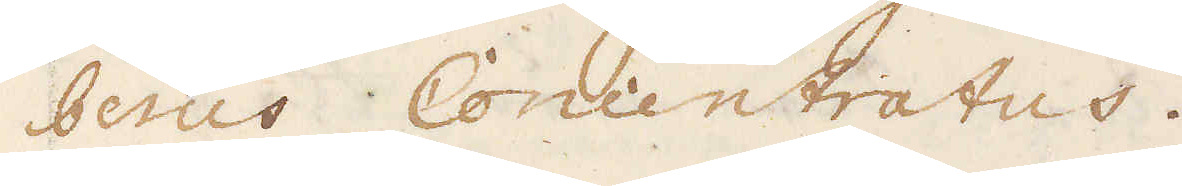besus Concentratus.
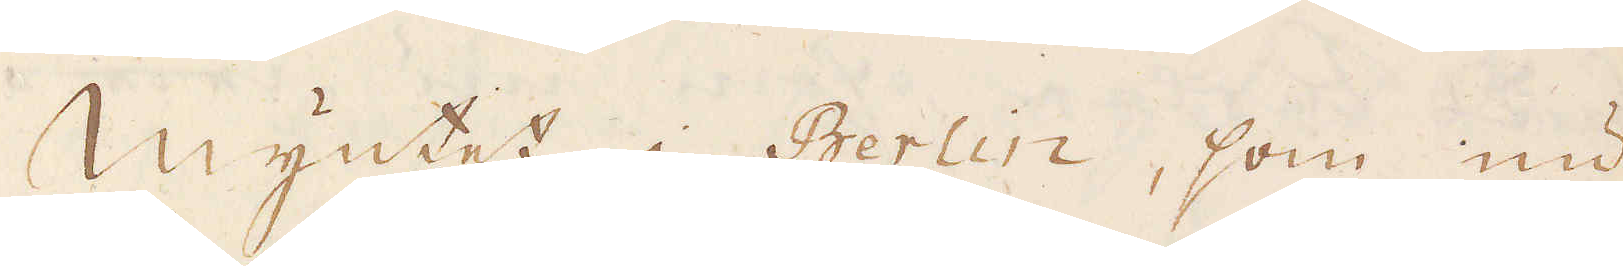Myntet i Berlin, som nu
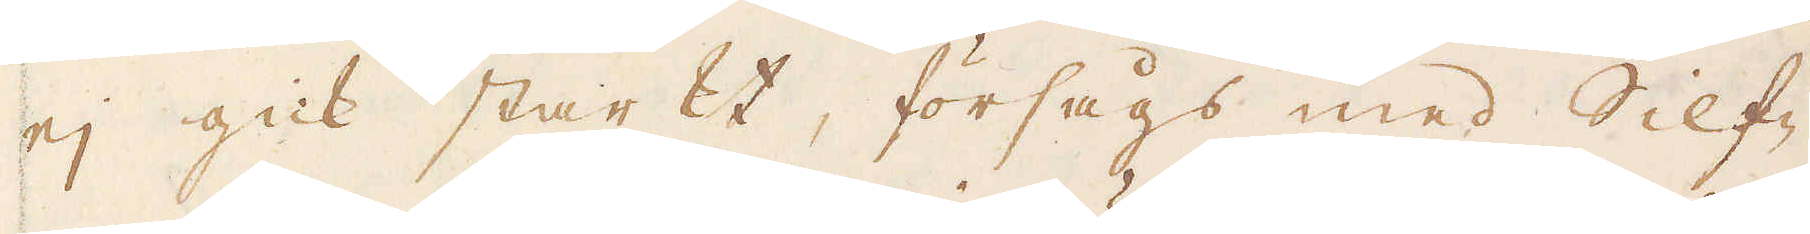ej gick starkt, försågs med Silf-
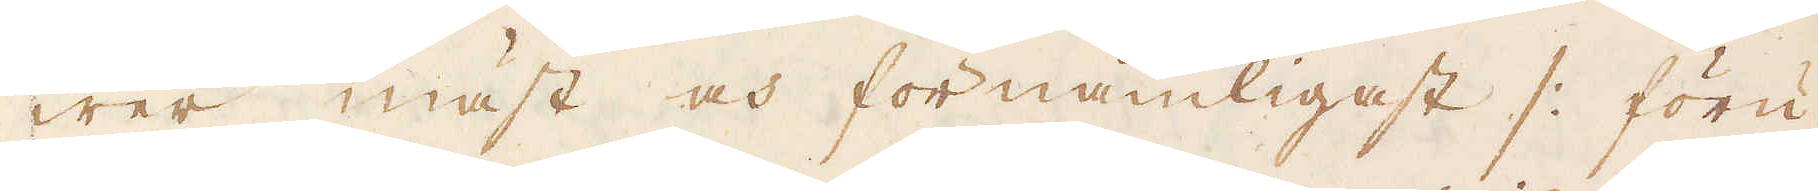wer mäst och förnämligast /: föru-
